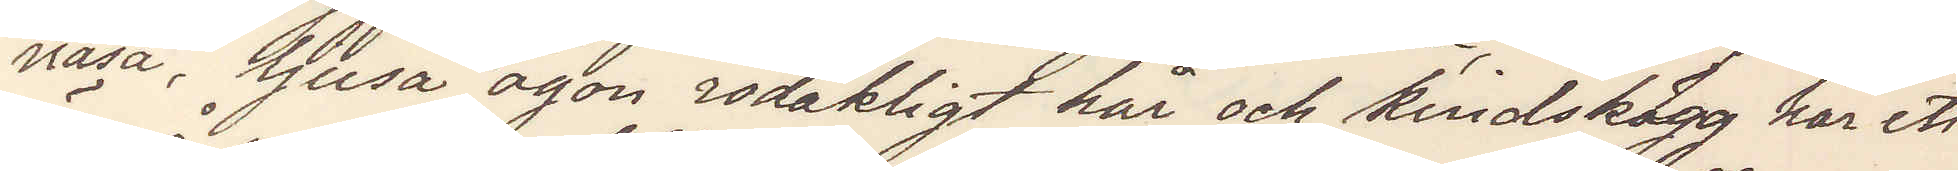näsa, ljusa ögon rödaktigt hår och kindskägg har ett
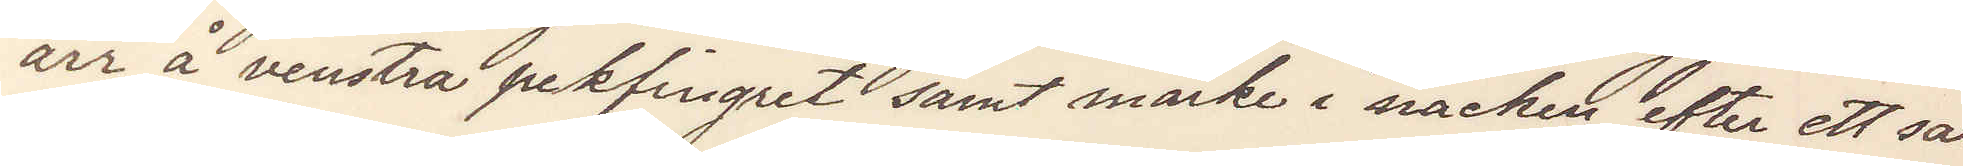ärr å venstra pekfingret samt märke i nacken efter ett sår
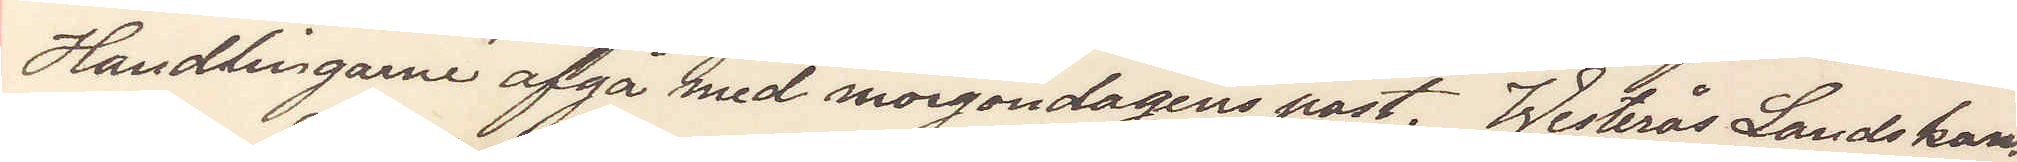Handlingarne afgå med morondagens post. Westerås Landskan¬
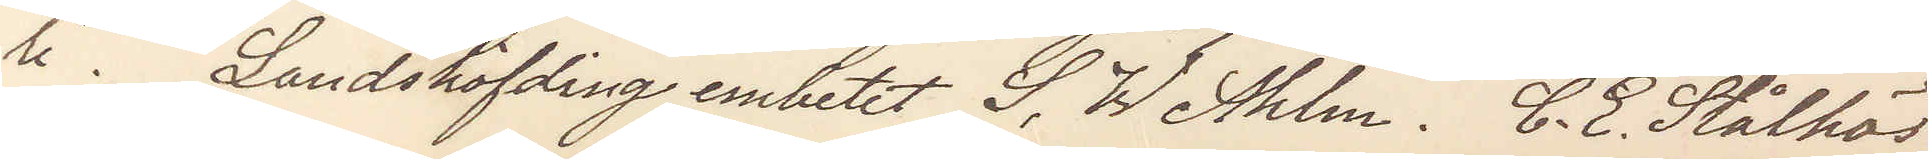li. Landshöfding embetet S. W Ahlm. C. E. Stålhös.
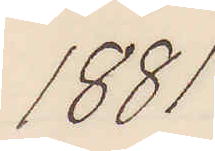1881
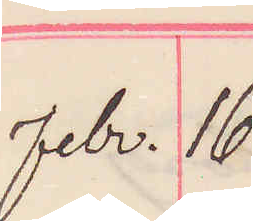febr. 16
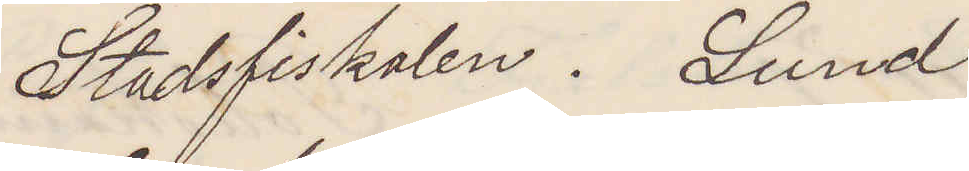Stadsfiskalen. Lund
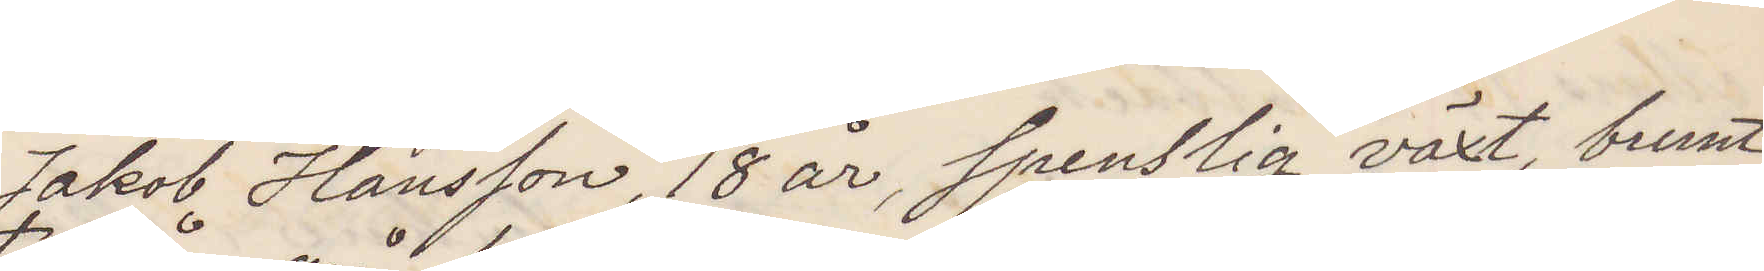Jakob Hansson, 18 år, spenslig växt, brunt
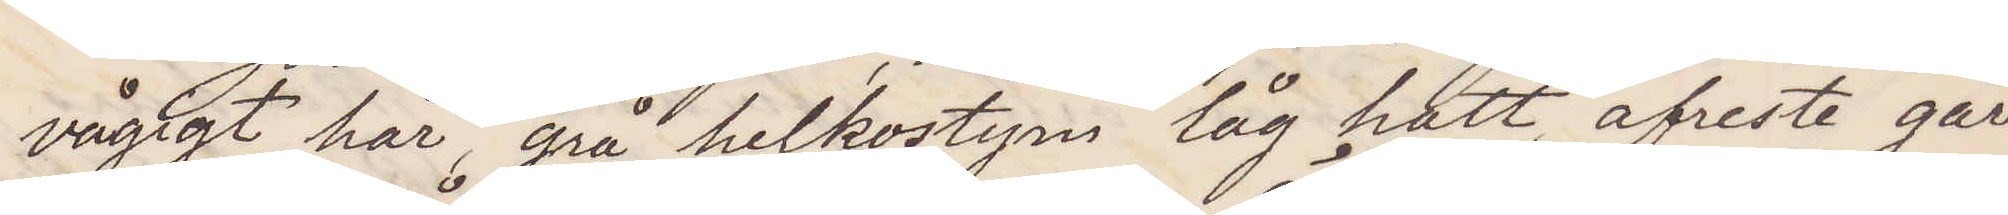vågigt hår, grå helkostym låg hatt, afreste går
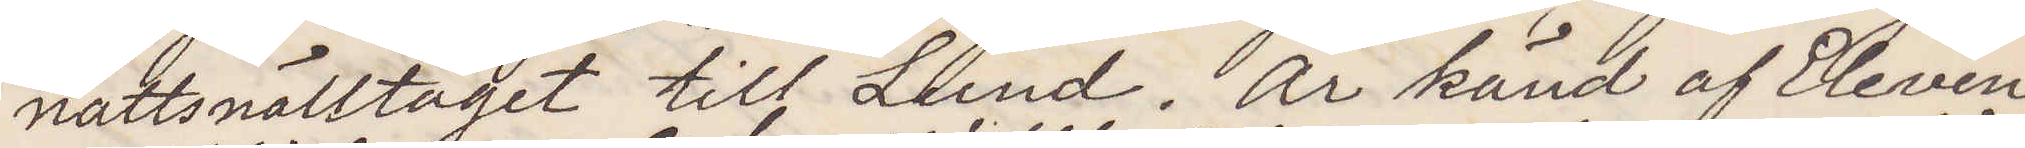nattsnälltåget till Lund. Är känd af Eleven
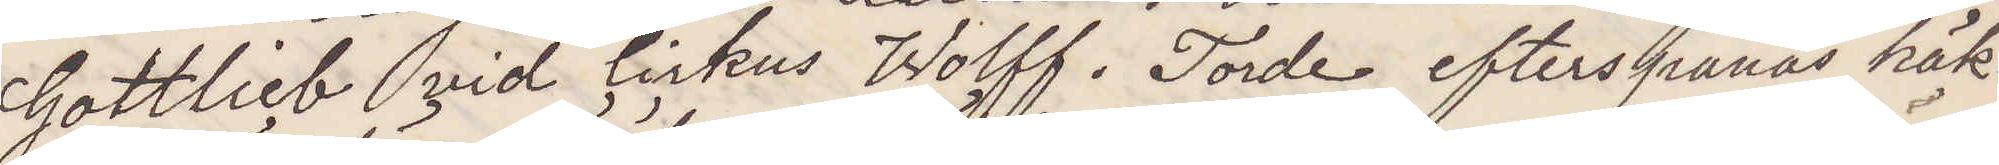Gottlieb vid Cirkus Wolff. Torde efterspanas häk¬
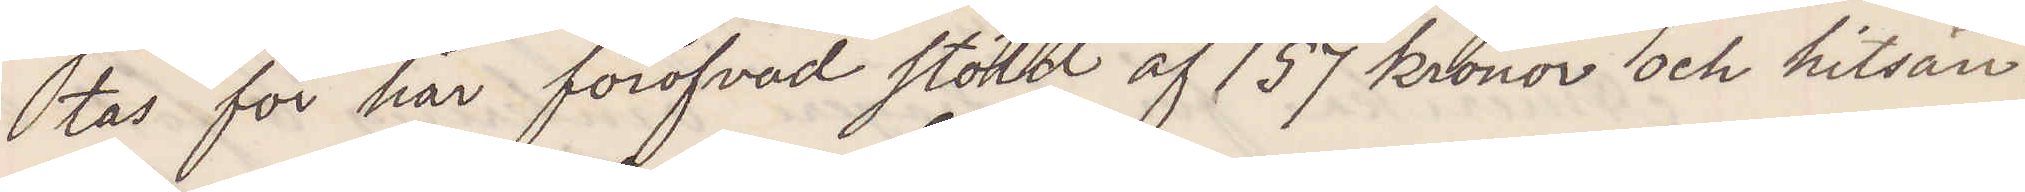tas för här föröfvad stöld af 157 kronor och hitsän¬
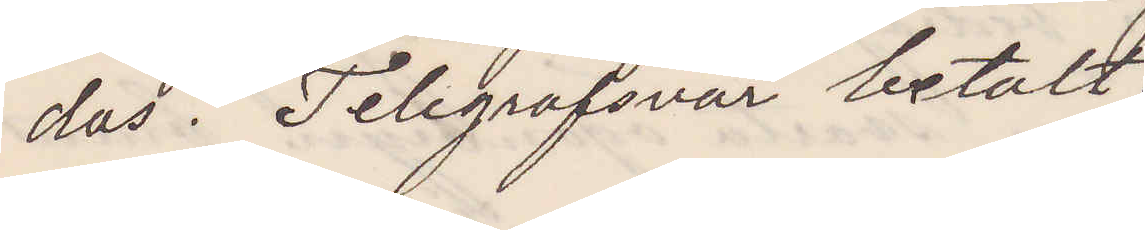das. Telegrafsvar betalt.
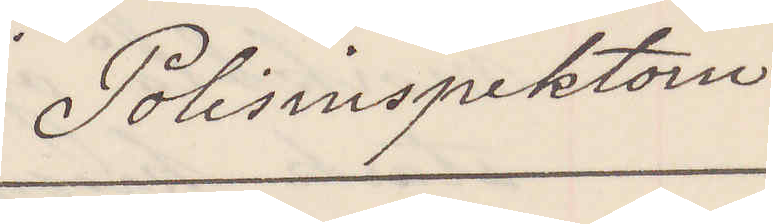Polisinspektorn
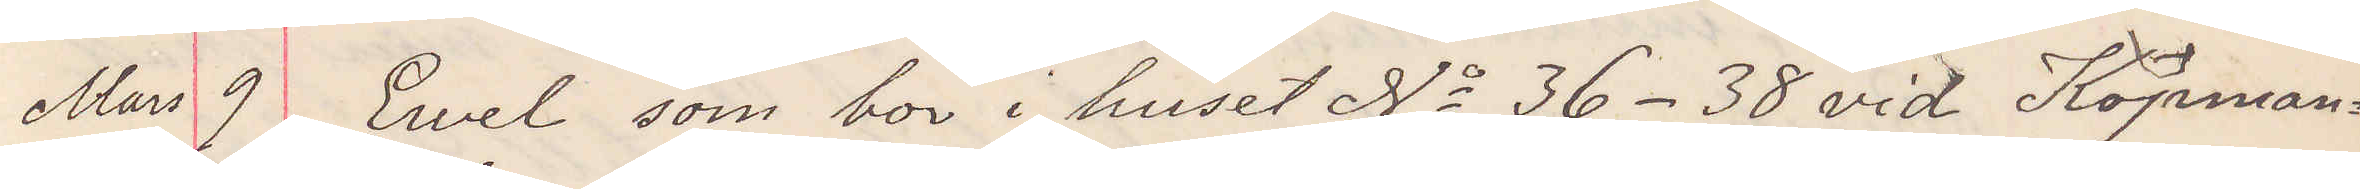Mars 9 Ewel som bor i huset No 36-38 vid Köpman¬
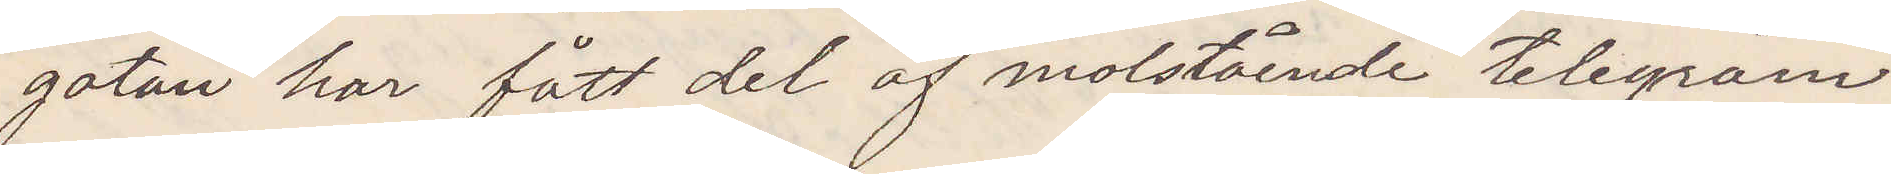gatan har fått del af motsående telegram
